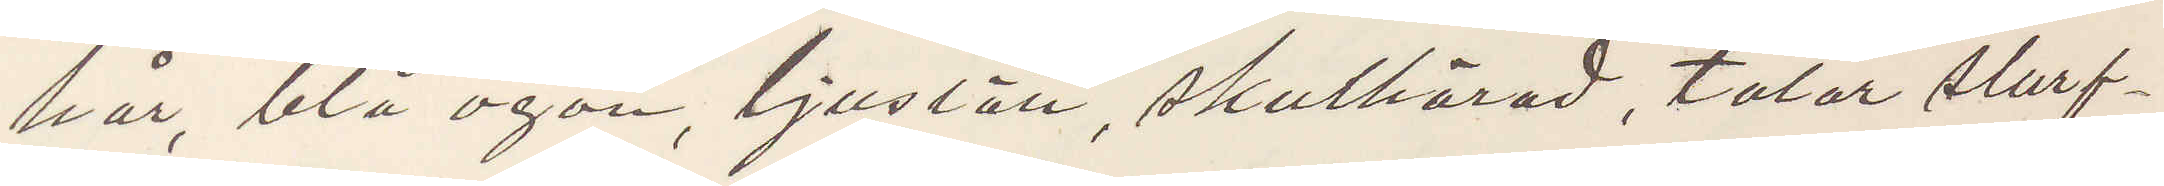hår, blå ögon, ljuslätt, skulhårad, talar slarf¬
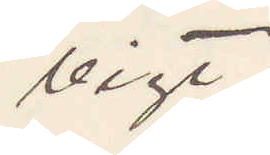vigt.
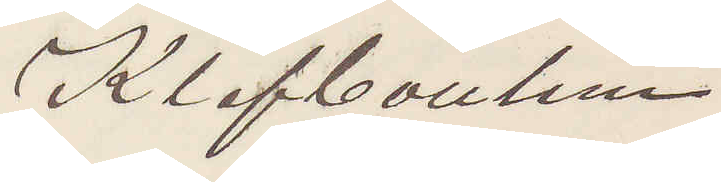Klefbouhm
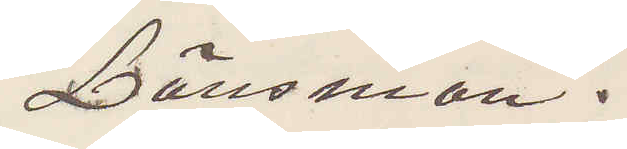Länsman.
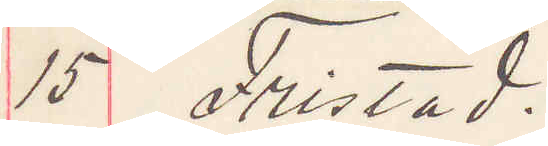15 Fristad.
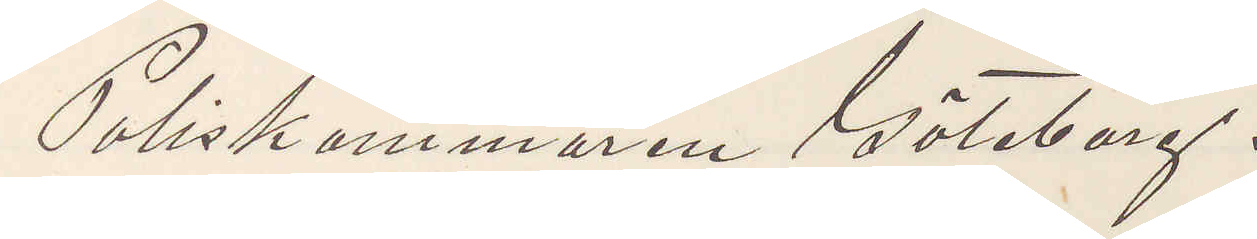Poliskammaren Göteborg.
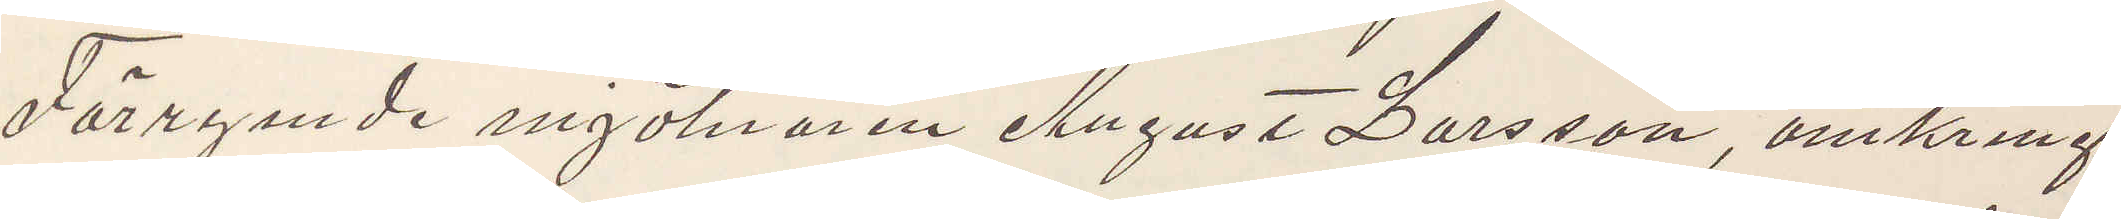Förrymde mjölnaren August Larsson, omkring
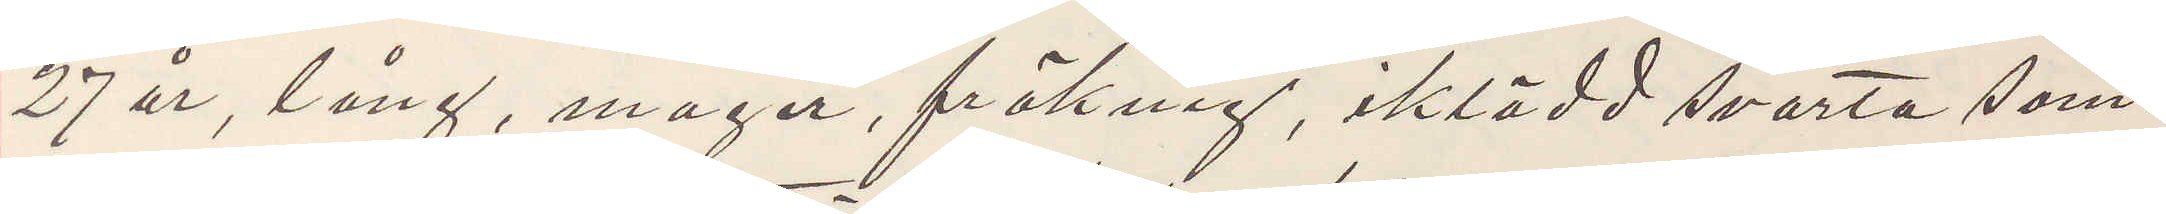27 år, lång, mager, fräknig, iklädd svarta som¬
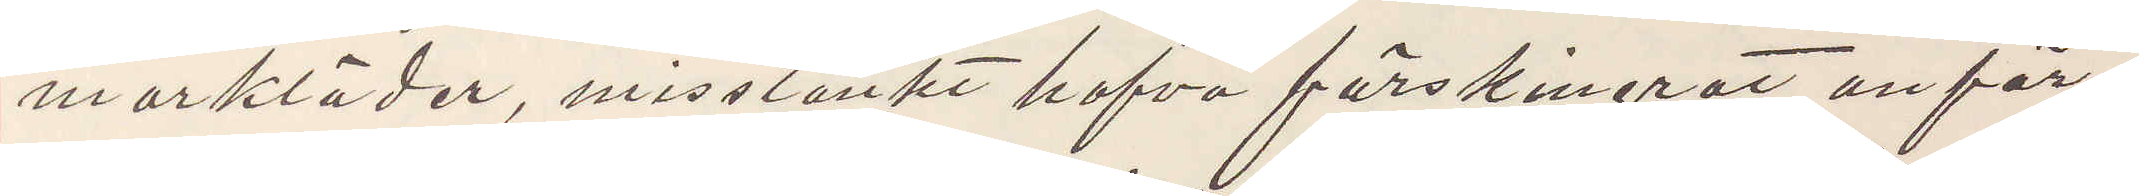markläder, misstänkt hafva förskingrat anför¬
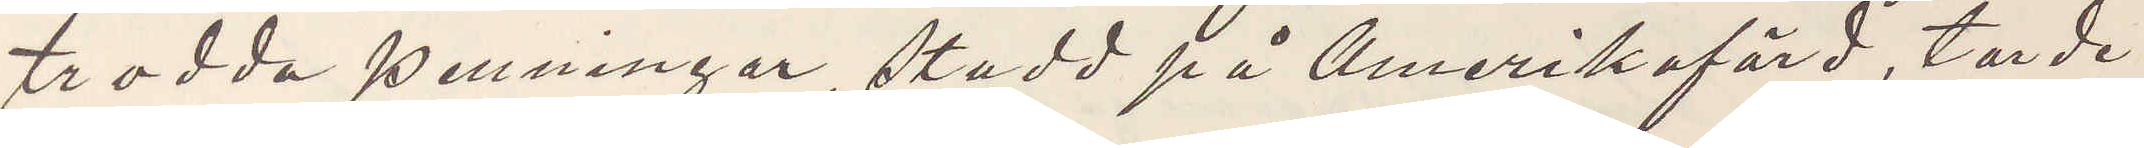trodda penningar, stadd på Amerikafärd, torde
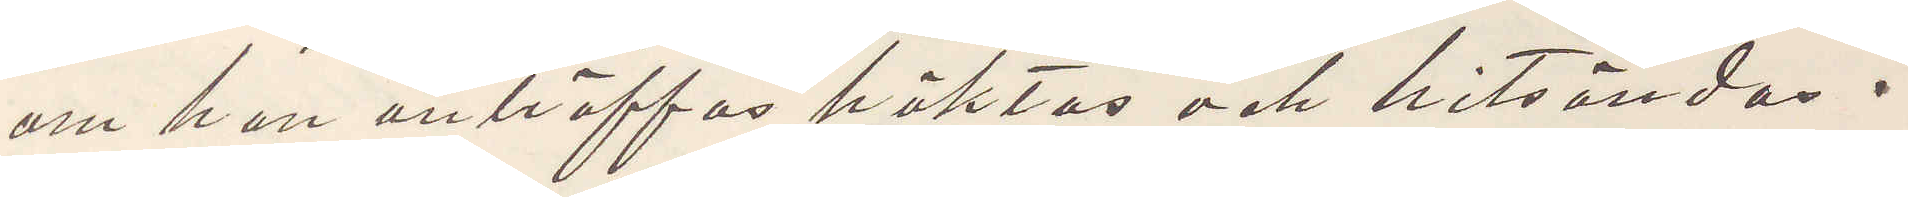om han anträffas häktas och hitsändas.
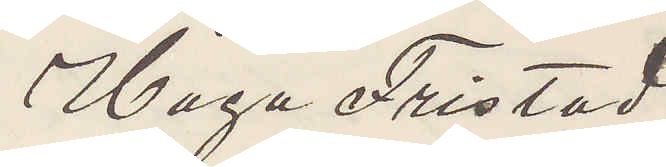Höga Fristad
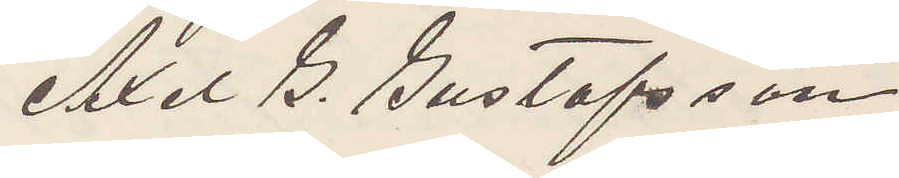Axel G. Gustafsson
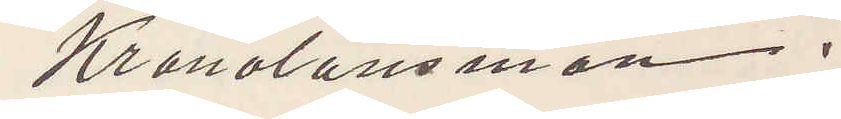Kronolänsman.
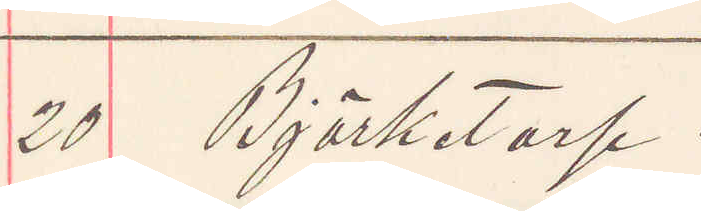20 Björketorp.
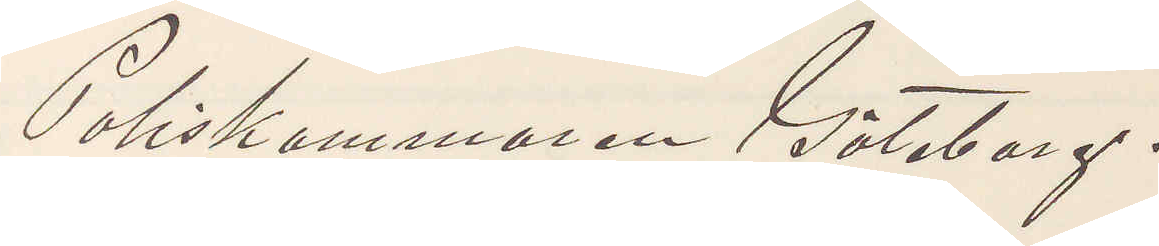Poliskammaren Göteborg.
